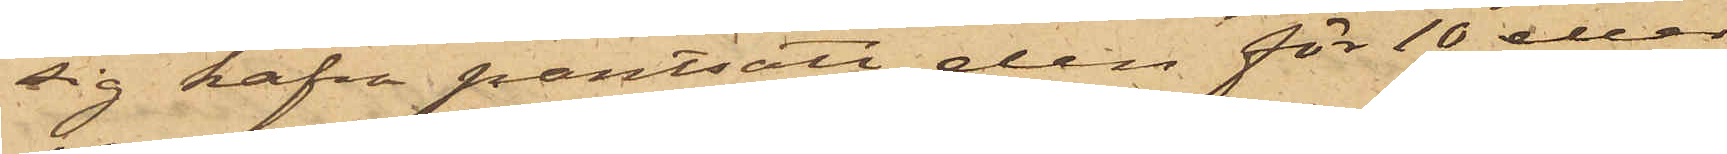sig hafva pantsatt den för 10 eller
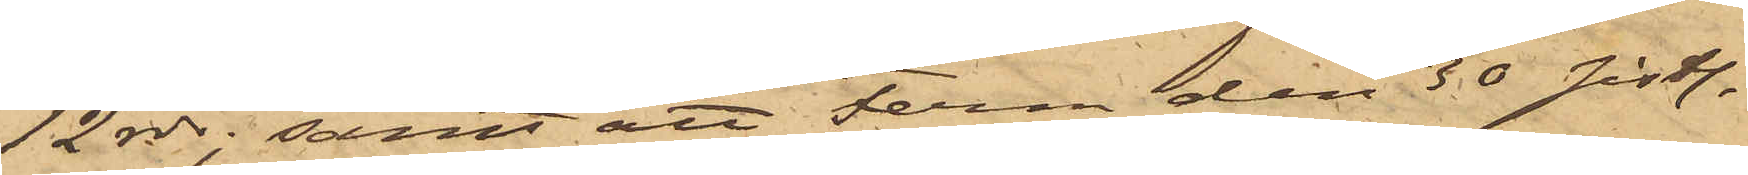12 rdr; samt att Ferm den 30 sistl.
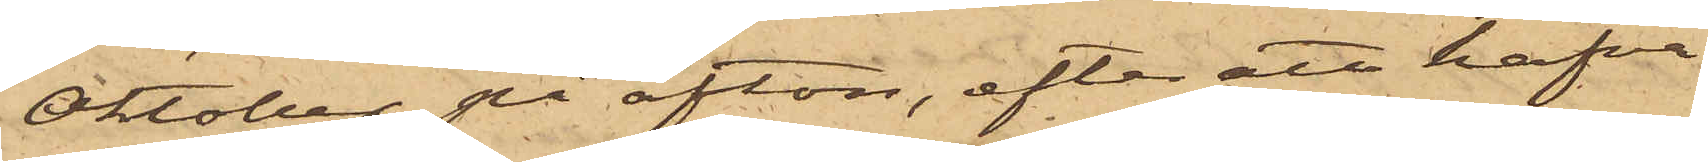Oktober på afton, efter att hafva
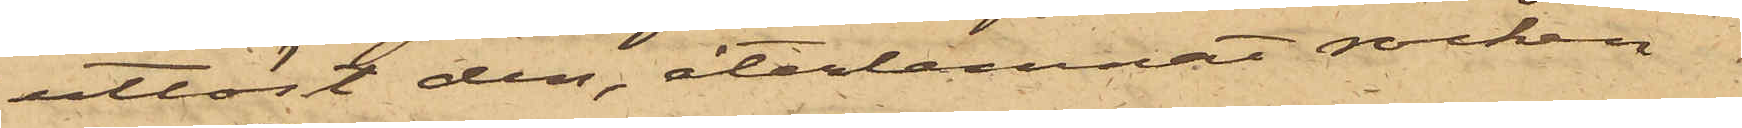utlöst den, återlemnat rocken
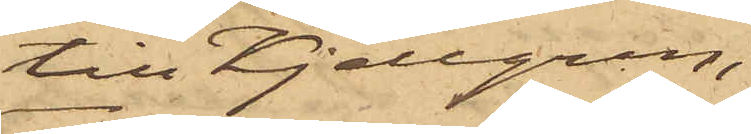till Kjellgren;
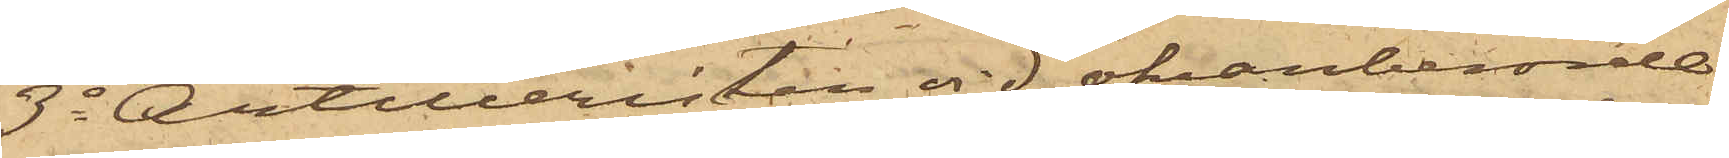3o Artilleristen vid ofvanberörde
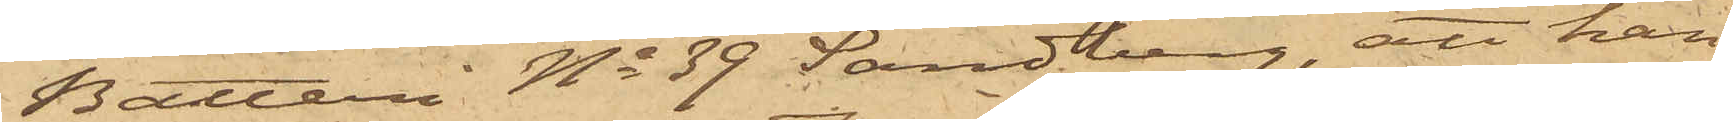 Batteri No 39 Sandberg, att han
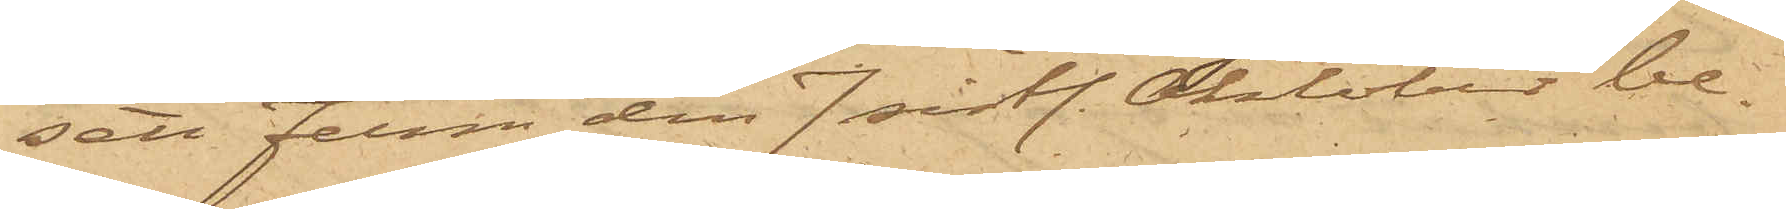sett Ferm den 7 sistl. Oktober be¬
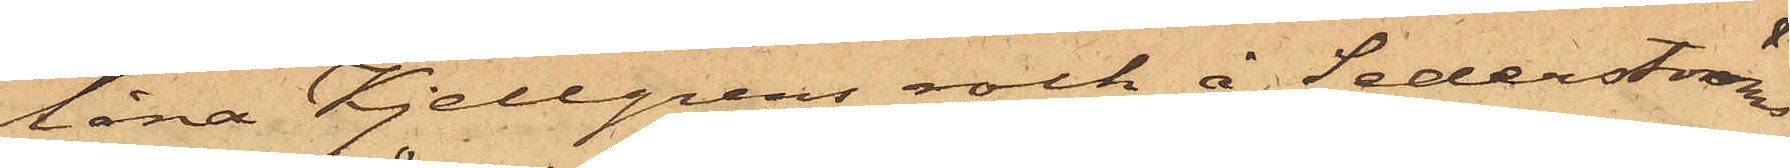låna Kjellgrens rock å Sederström
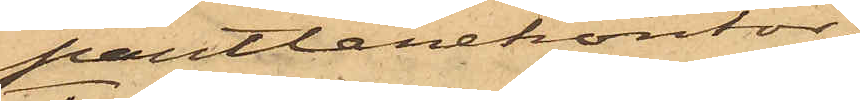pantlånekontor;
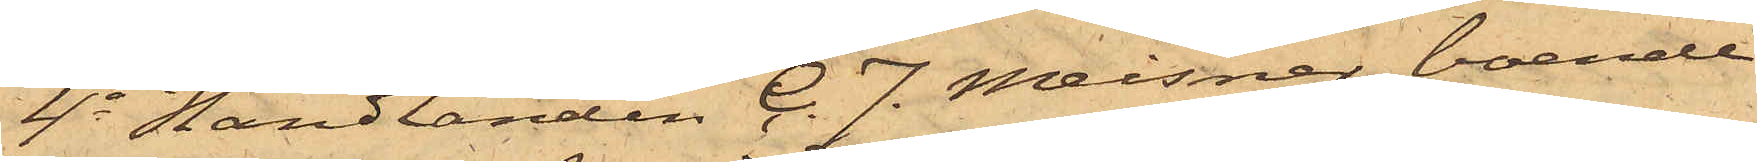4o Handlanden C. J. Meisner, boende
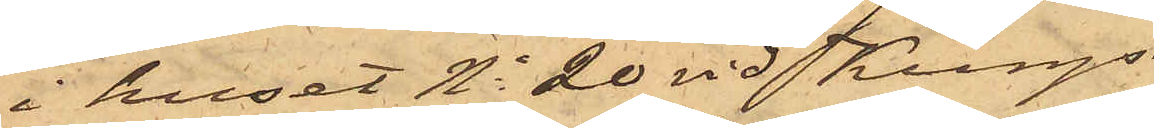i huset No 20 vid Kungs¬
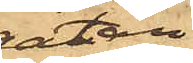gatan,
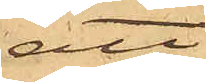att
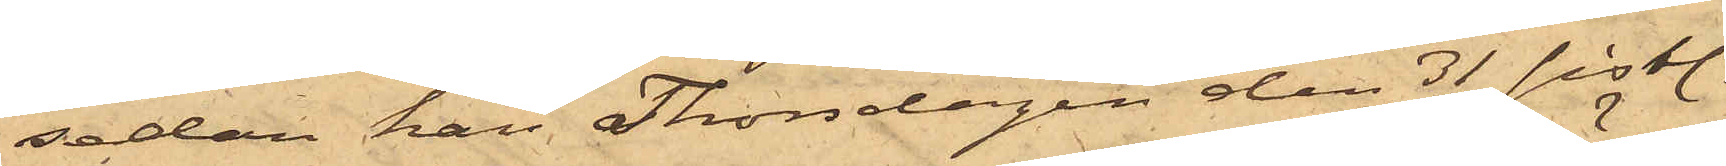sedan han Thorsdagen den 31 sistl.
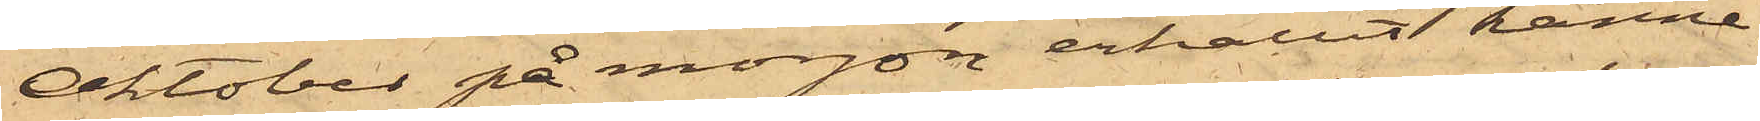Oktober på morgon erhållit känne¬
